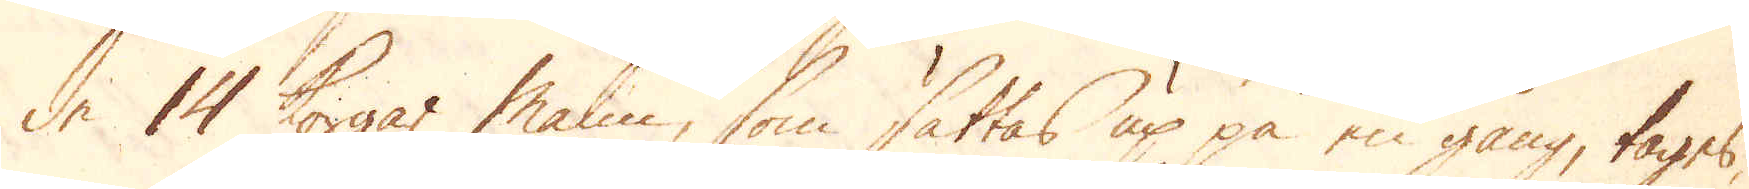de 14 Korgar Malm, som sättas up på en gång, tages,
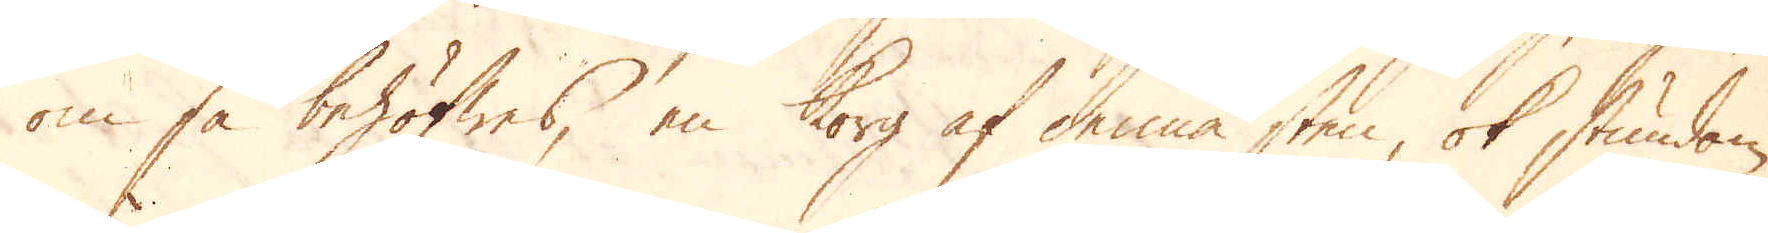om så behöfwes, en Korg af denna sten, ok stundom, 
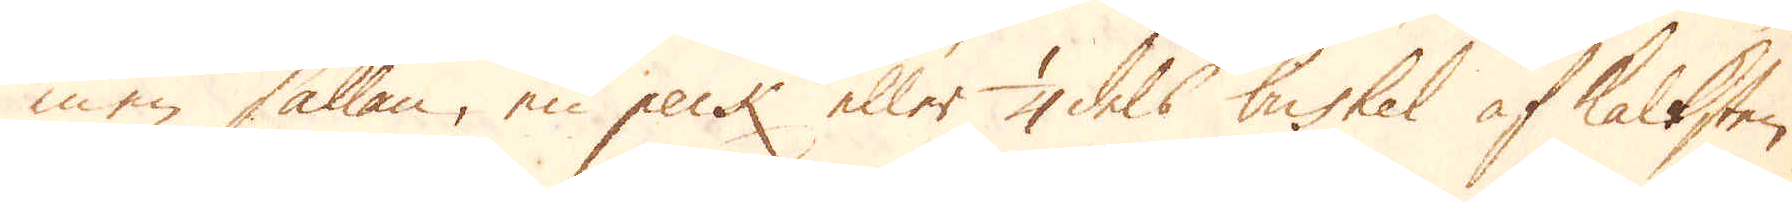men sällan, en peck eller 1/4 dels bushel af Kalksten.
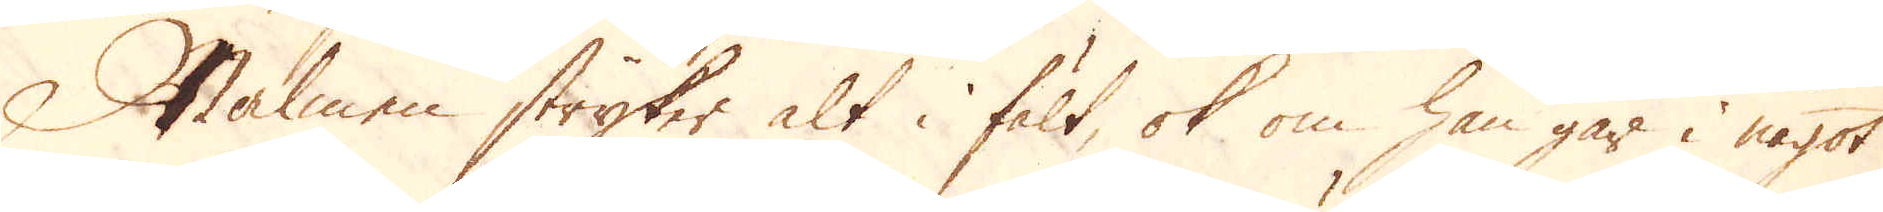Malmen stryker alt i fält, ok om han går i något
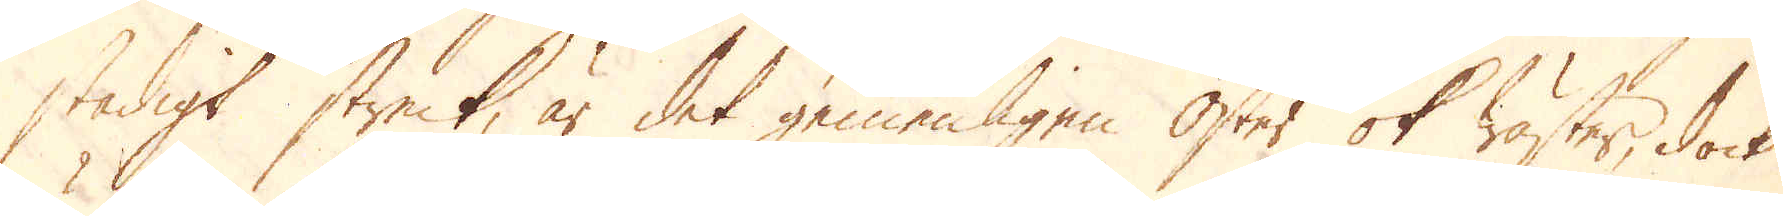stadigt streck, är det gemenligen Öster ok Wäster, dock
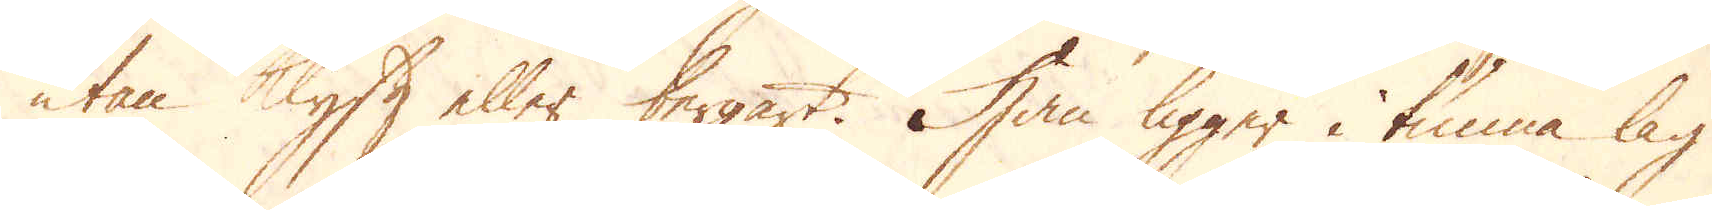utan Klyft eller bergart. Han ligger i tunna lag
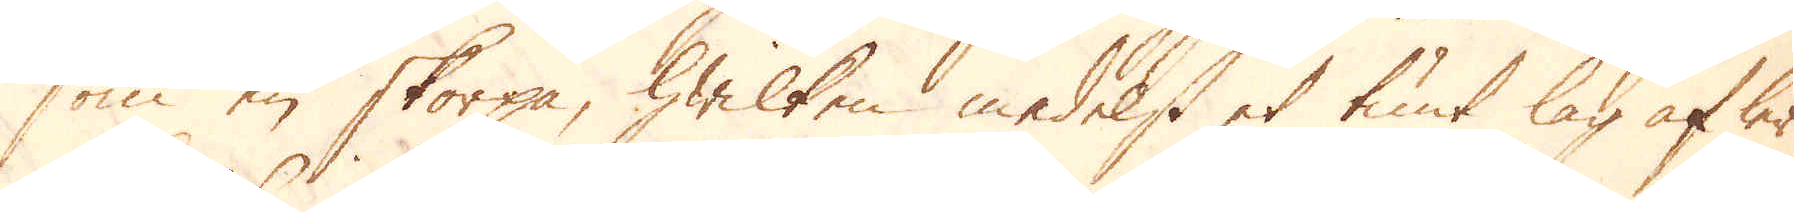som en skorpa, hwilken medelst et tunt lag af ler
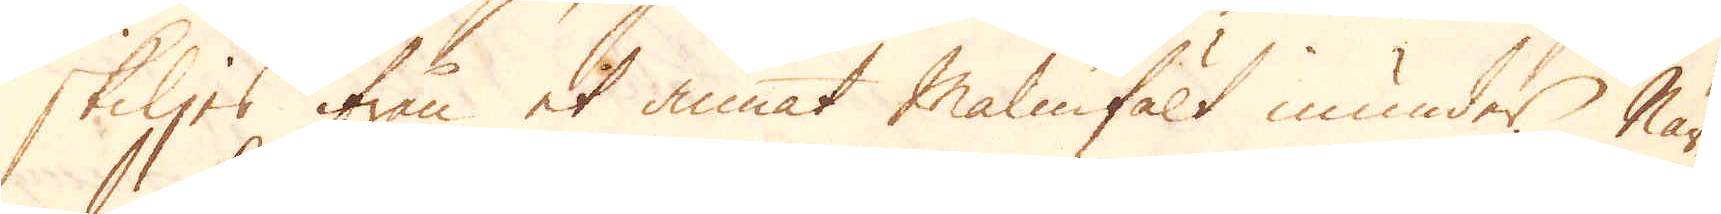skiljes ifrån et annat Malmfält inunder. När
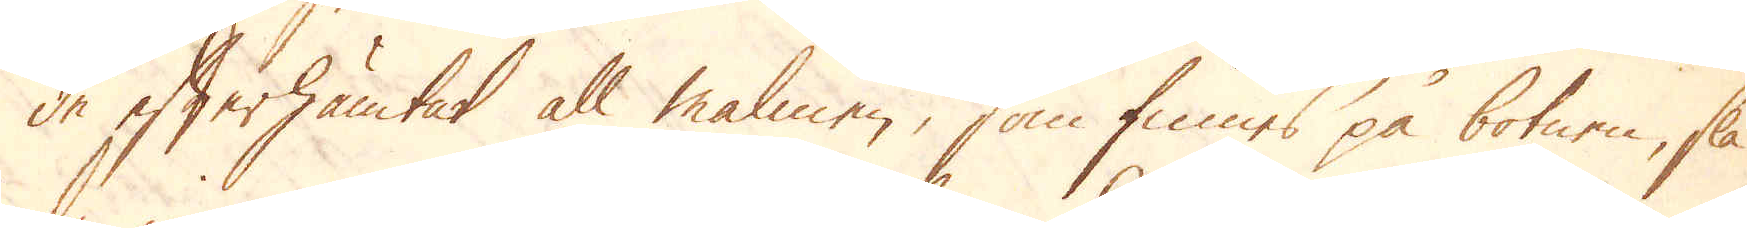de efterhämtat all malmen, som finnes på botnen, slå
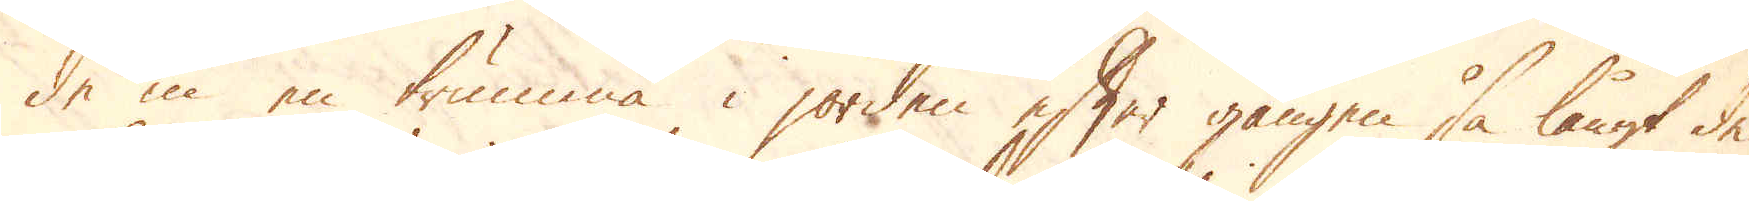de in en trumma i jorden efter gången så långt de
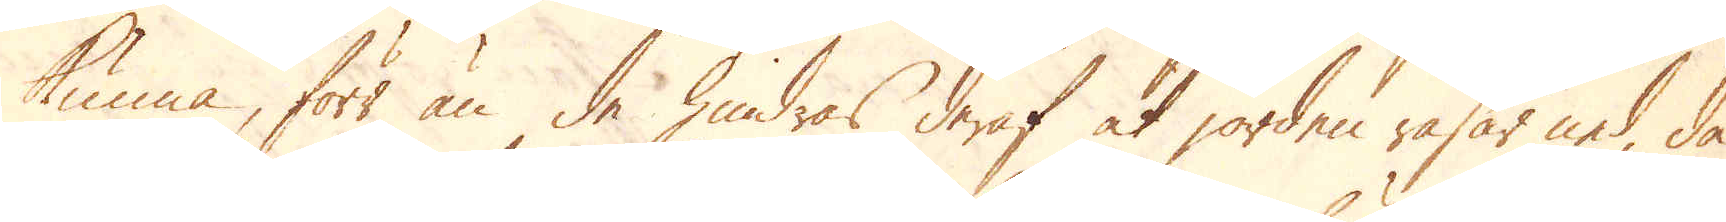kunna, förr än de hindras deraf at jorden rasar ned, då
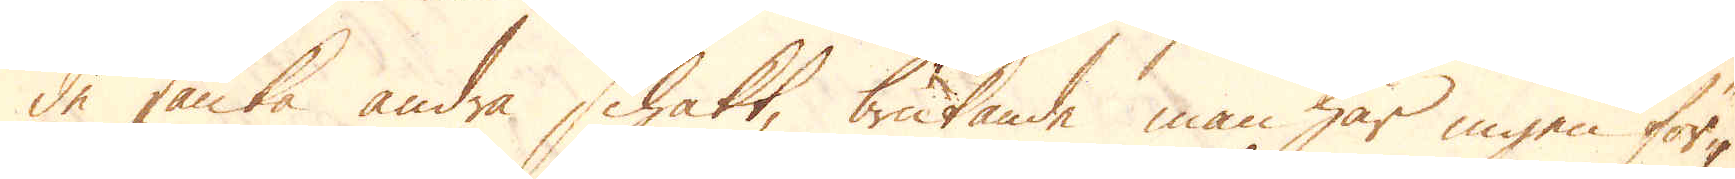de sänka andra Schakt, brukande man här ingen för-
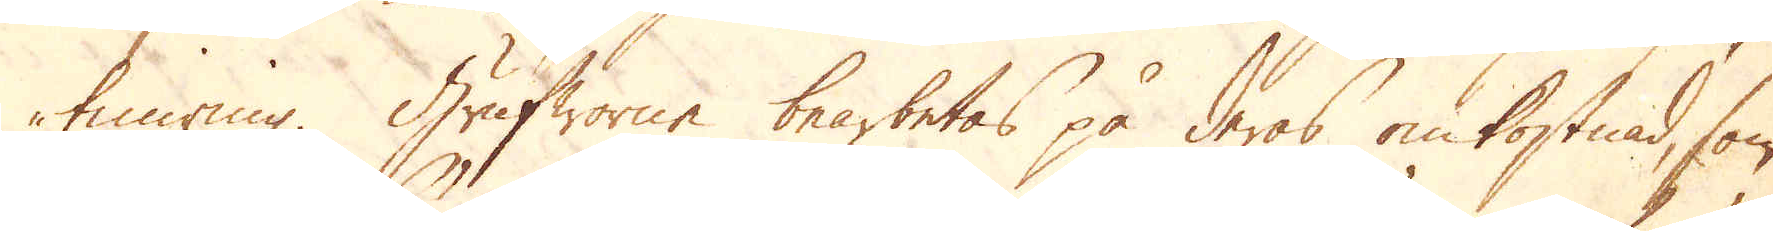timring. Grufworne bearbetas på deras omkostnad, som
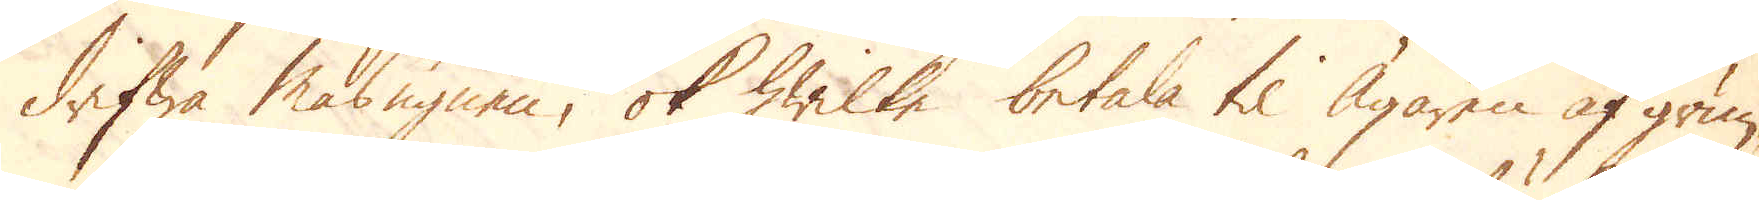drifwa Masugnen, ok hwilke betala til Ägaren af grun-
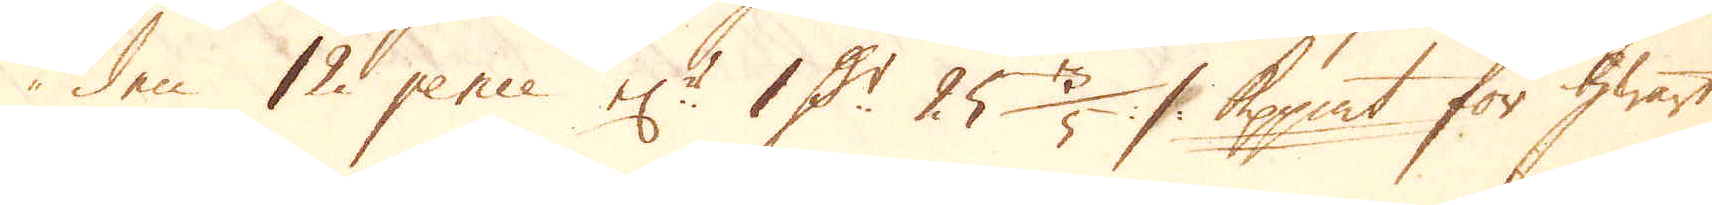den 12 pence el:r 1 D:r 25 3/5 :/: Kpp:mt för hwart
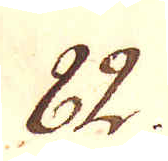82.
